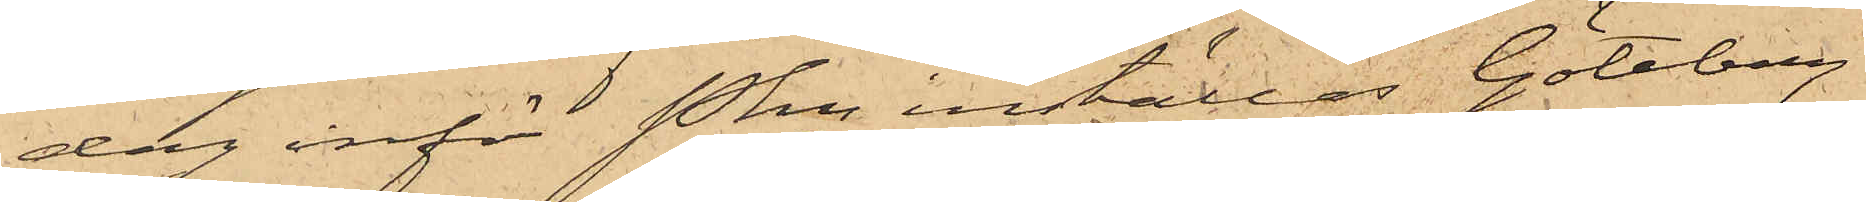dag inför Pkn inställas. Göteborg
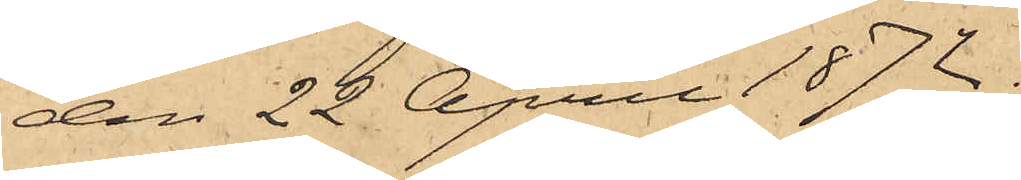den 22 April 1872.
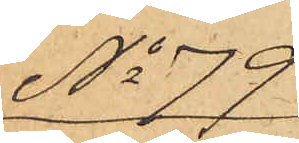No 79
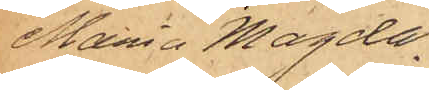Maria Magda¬
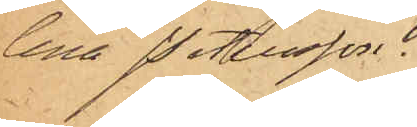lena Petersson.
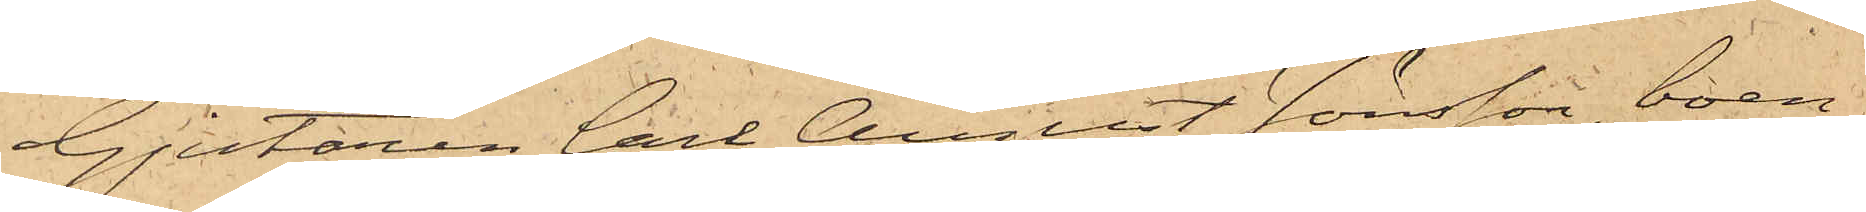Gjutaren Carl August Jönsson, boen¬
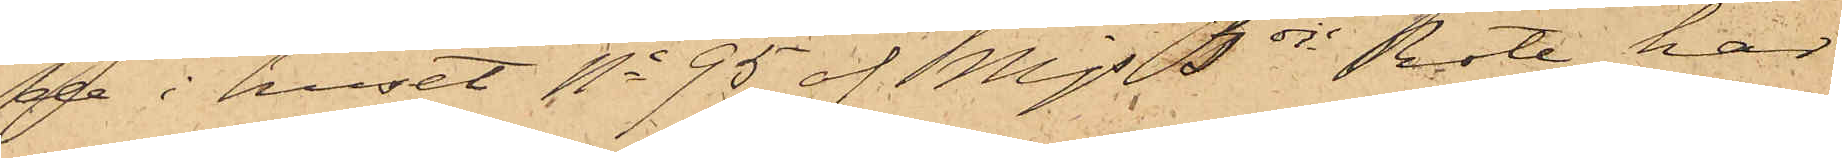de i huset No 95 af Mjs 3dje Rote, har
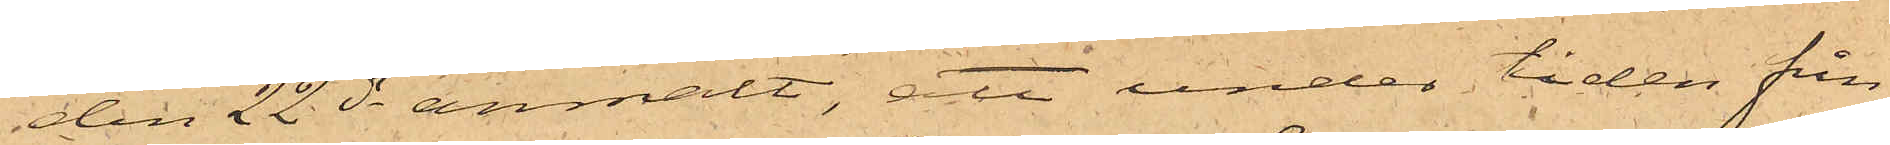den 22 ds anmält, att under tiden från
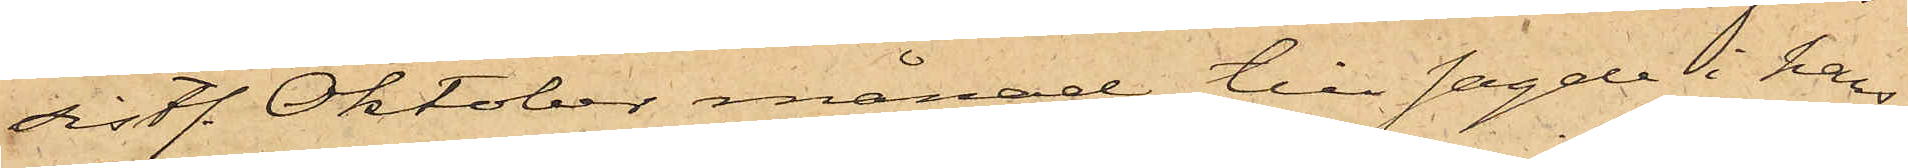sistl. Oktober månad till sagde i hans
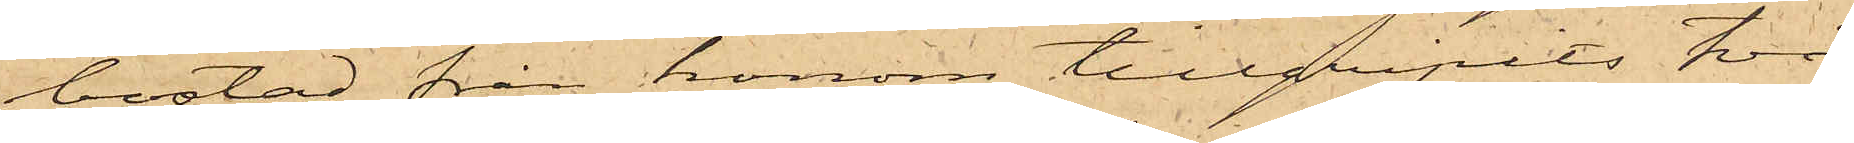bostad från honom tillgripits två
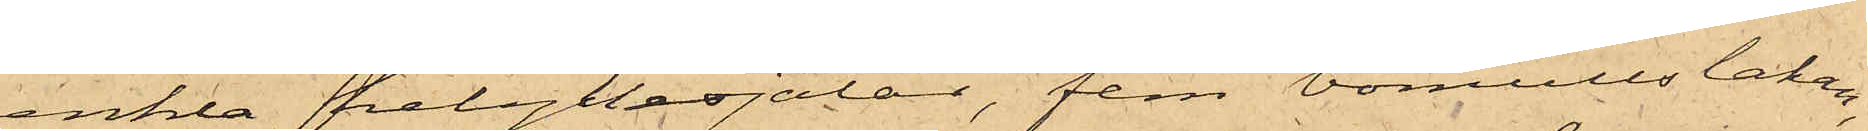enkla helyllesjalar, fem bomullslakan,
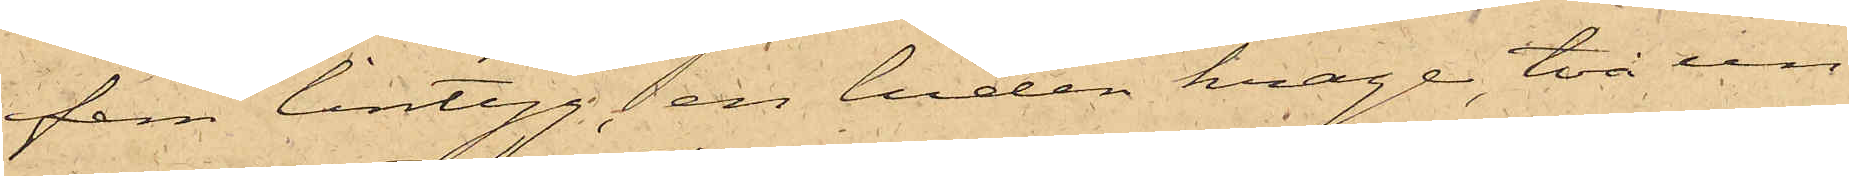fem lintyg, en luden krage, två un¬
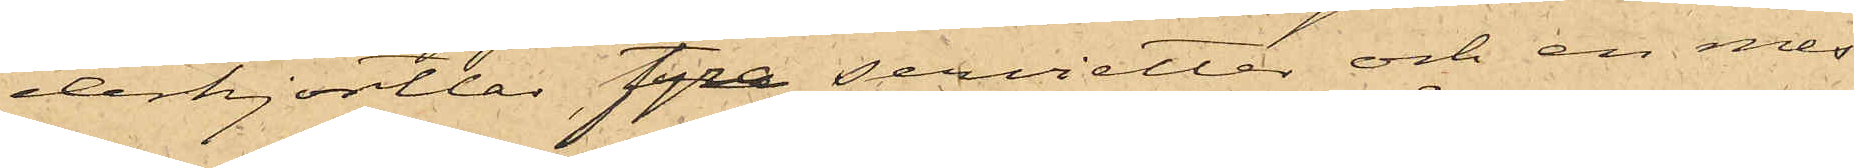derkjortlar, fyra servietter och en mes¬
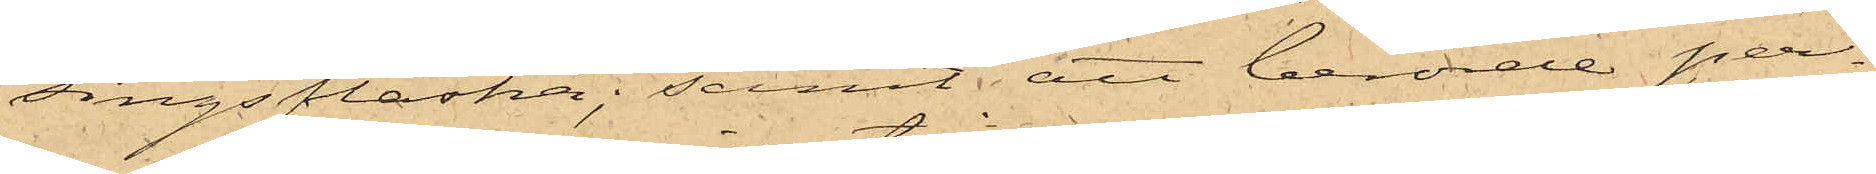singsflaska; samt att berörde per¬
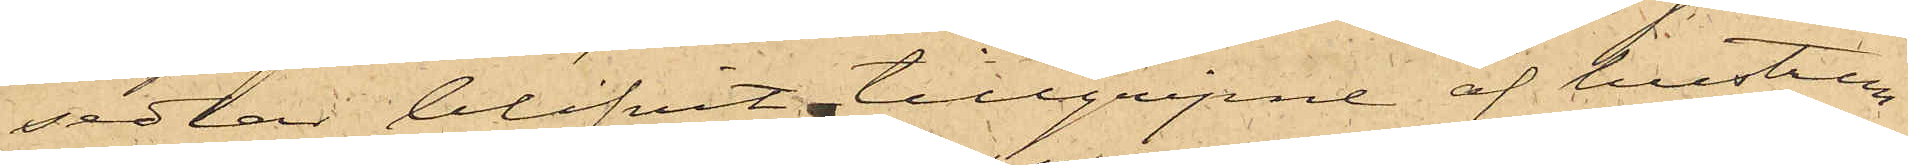sedlar blifvit tillgripne af hustrun
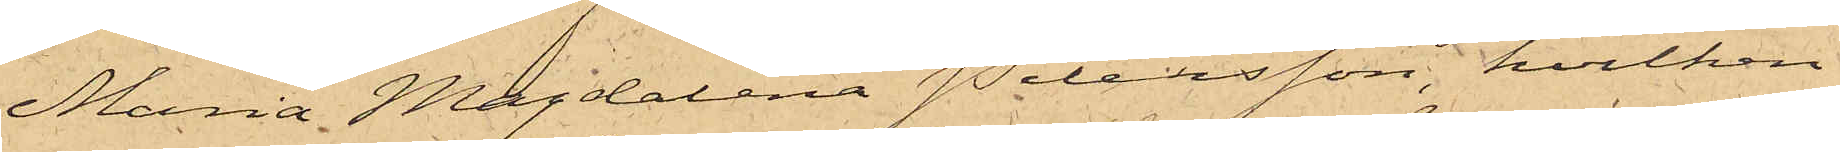Maria Magdalena Petersson, hvilken
